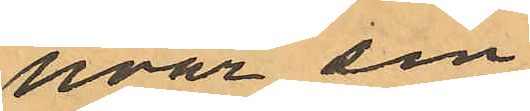hvar sin
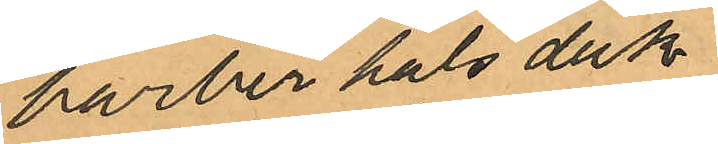barberhalsduk
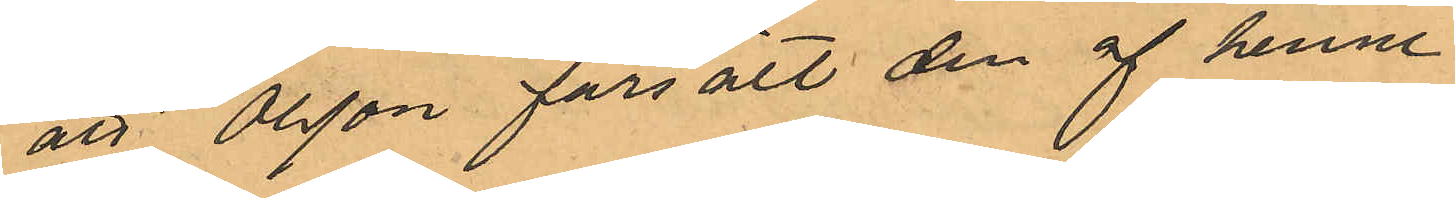att Olsson försålt den af henne
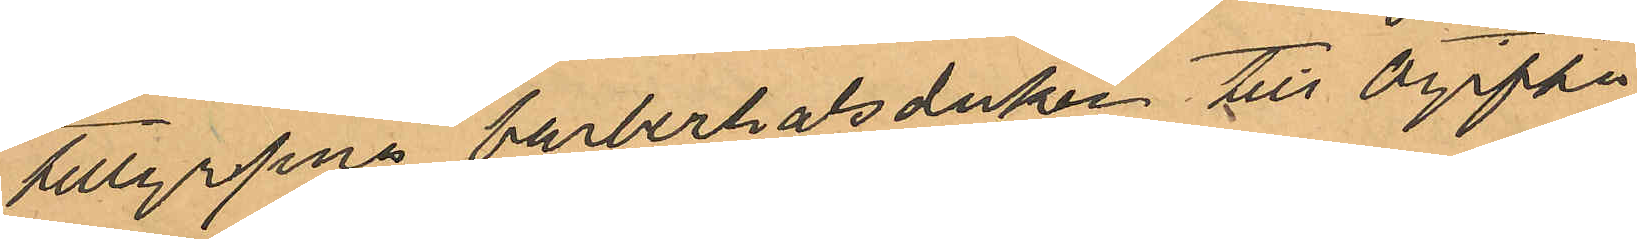tillgripne barberhalsduken till ogifta
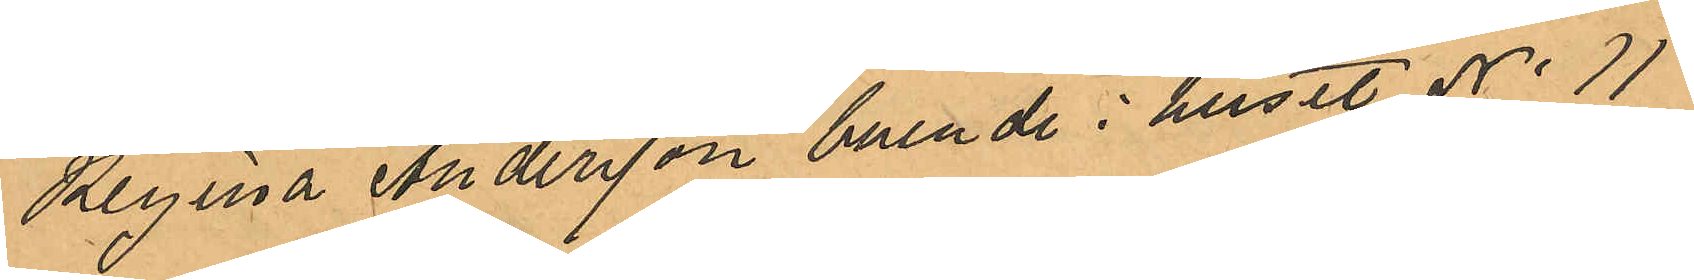Regina Andersson boende i huset No 11
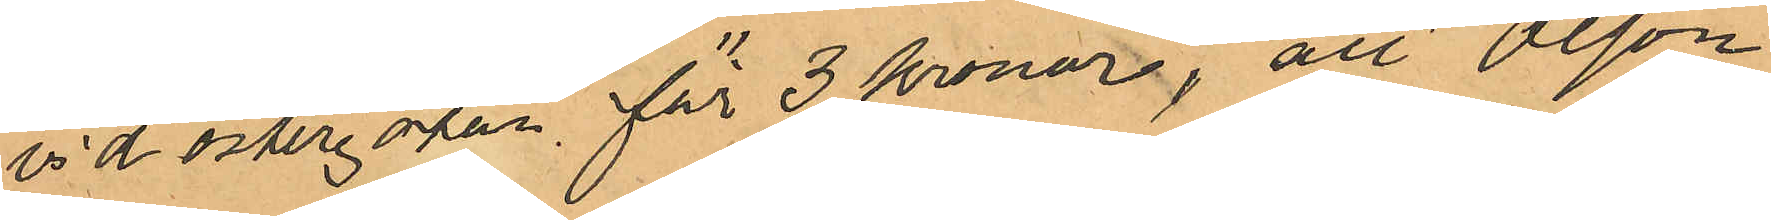vid Östergatan för 3 kronor, att Olson
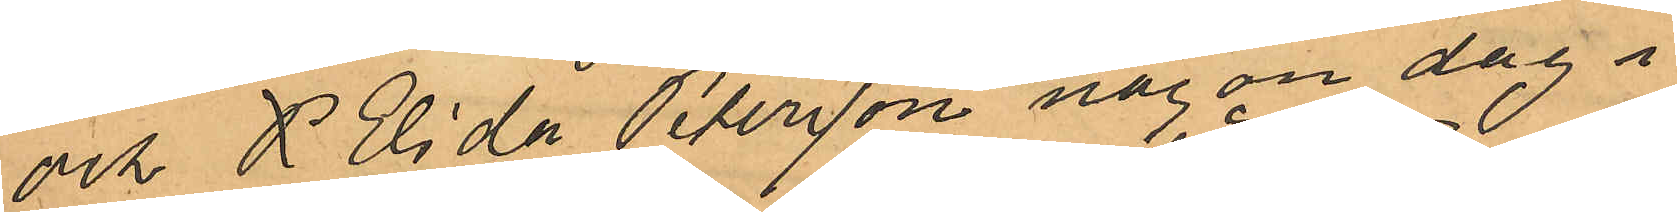och  P Elida Petersson någon dag i
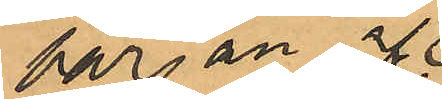början af
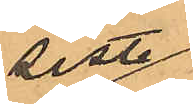sistl
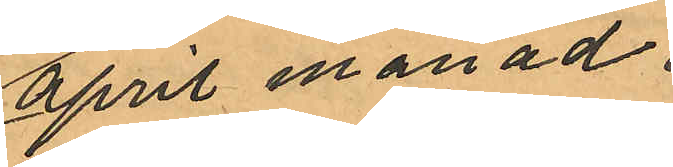April månad
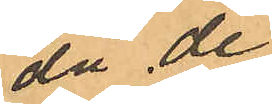då de
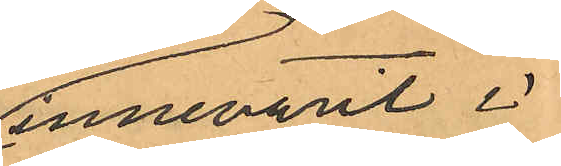innevarit i
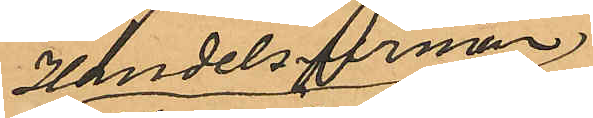Handelsfirman
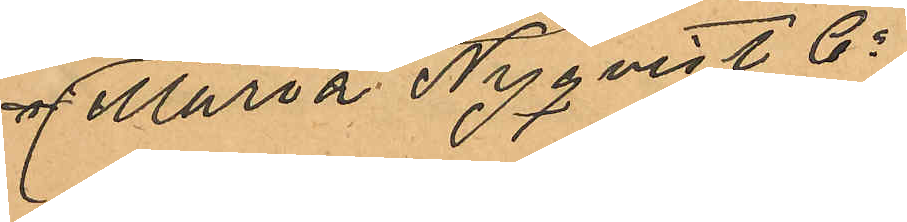af Maria Nyqvist  Co
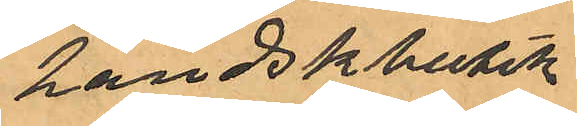handskbutik
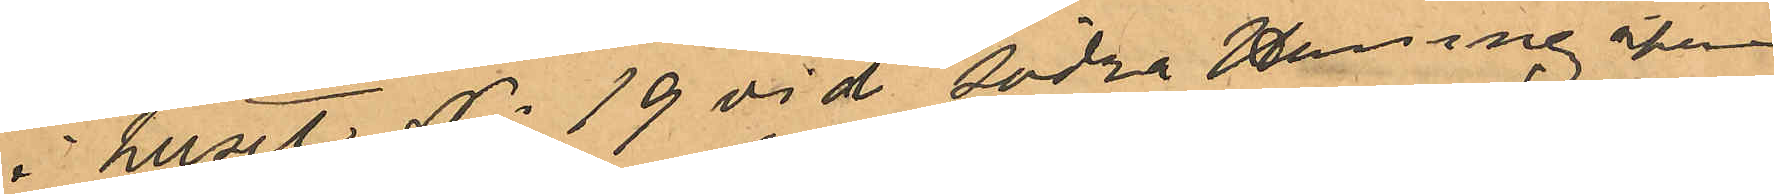i huset No 19 vid Södra Hamngatan
